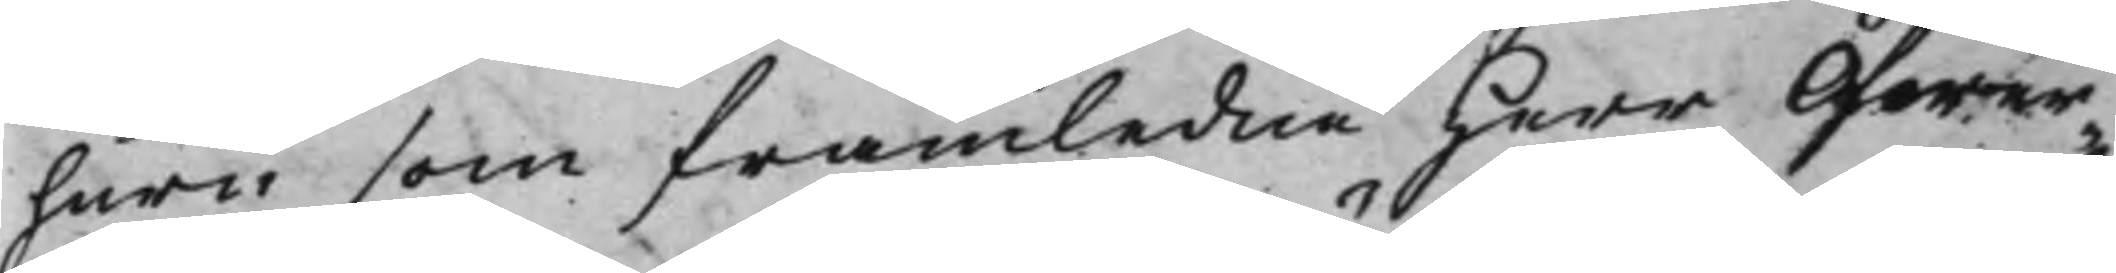huru som framledne Herr Öfwer¬
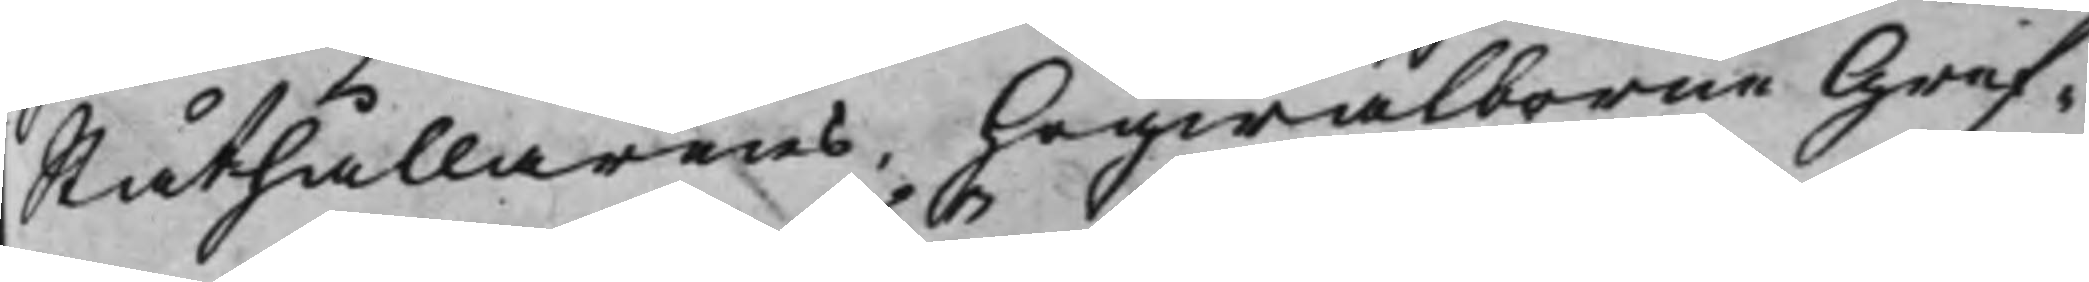Ståthållarens, Högwälborne Gref¬
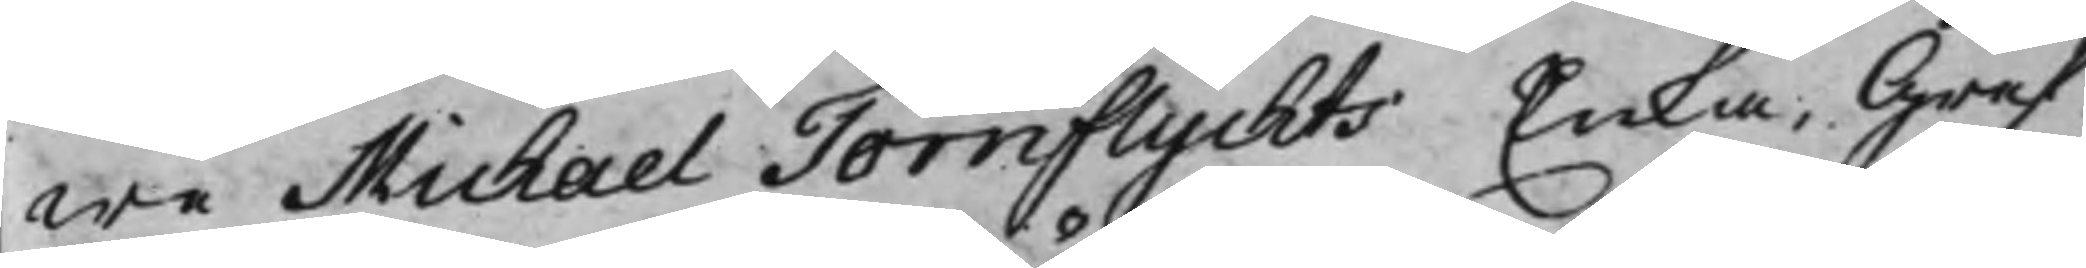we Michael Törnflychts Enka, Gref¬
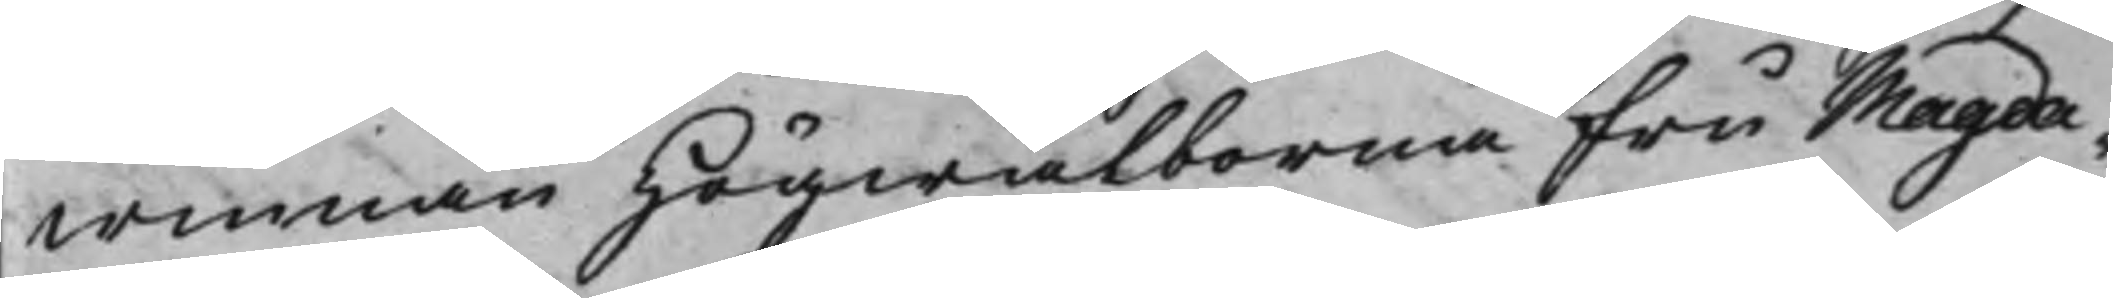winnan Högwälborna Fru Magda¬
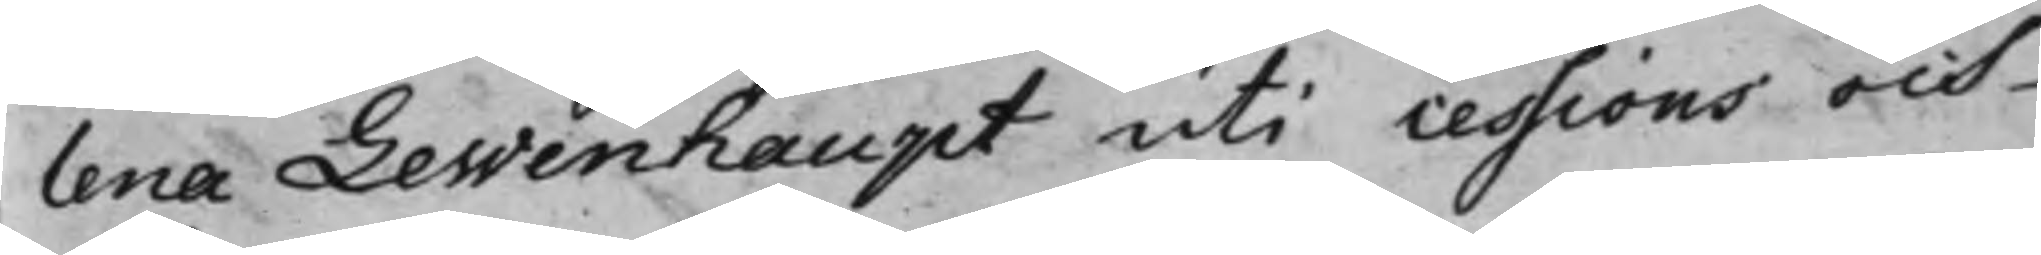lena Lewenhaupt uti cessions och
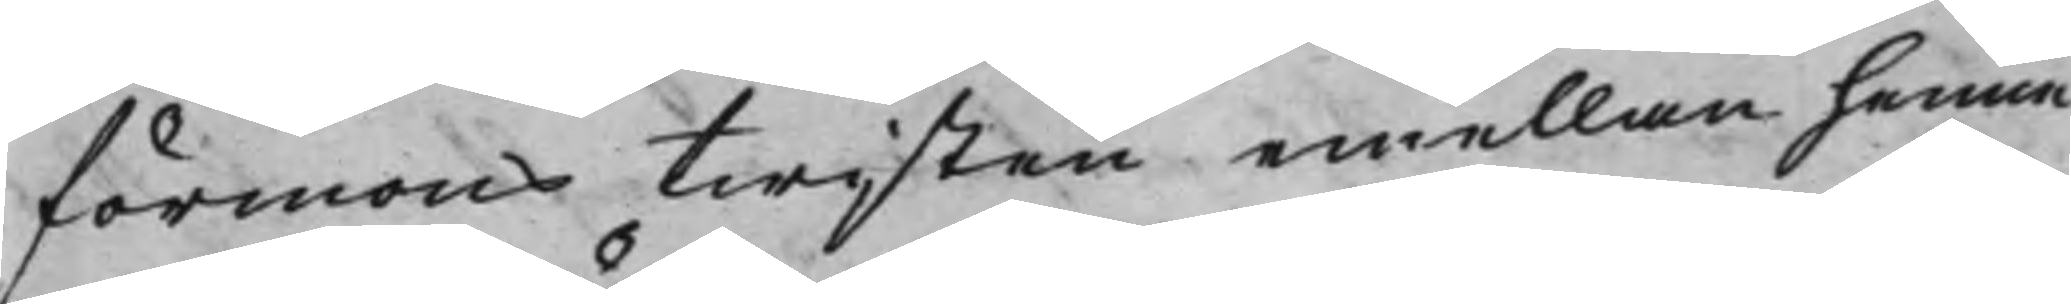förmons twisten emellan henne
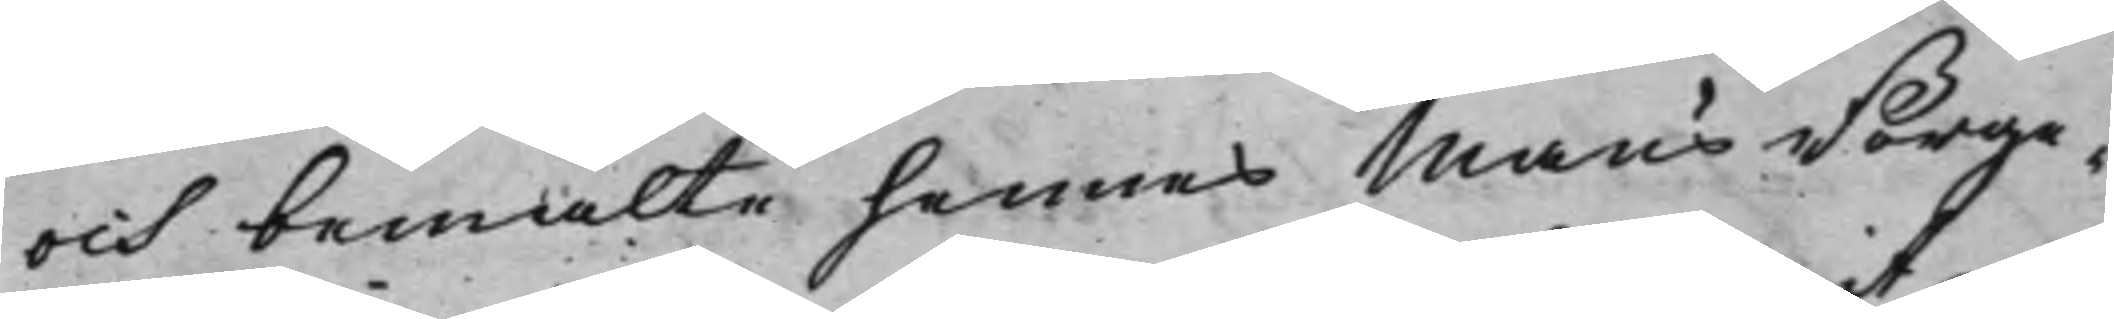och bemälte hennes Mans Borge¬
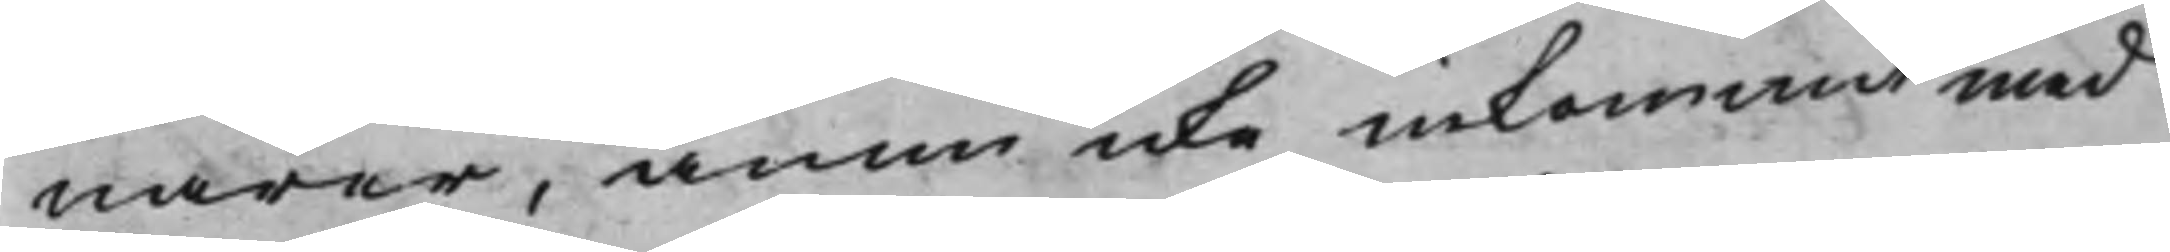närer, ännu icke inkommit med
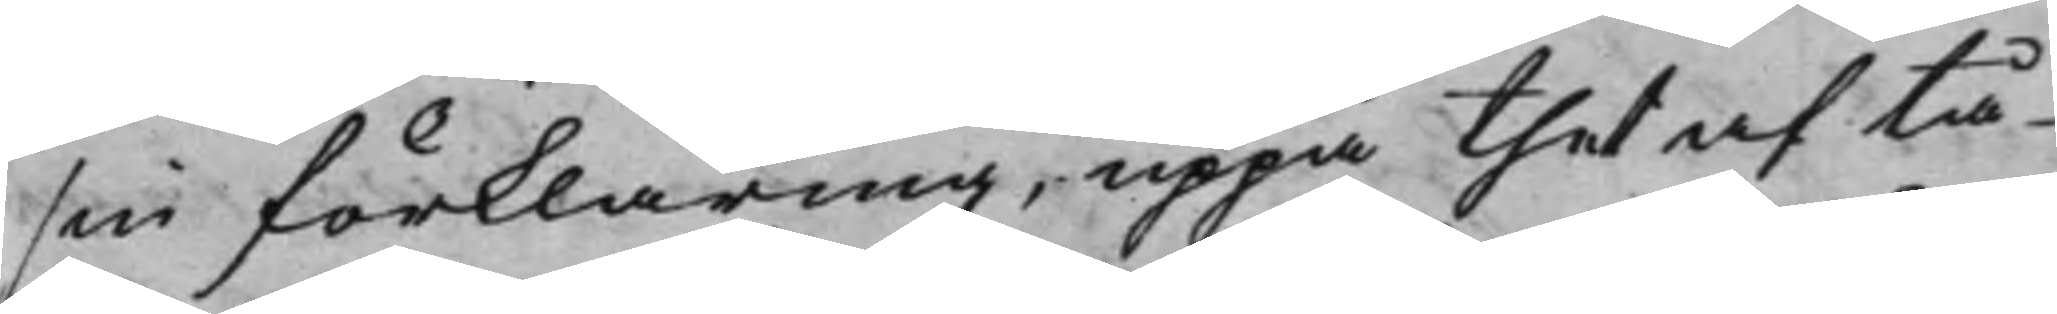sin förklaring, uppå thet af tå¬
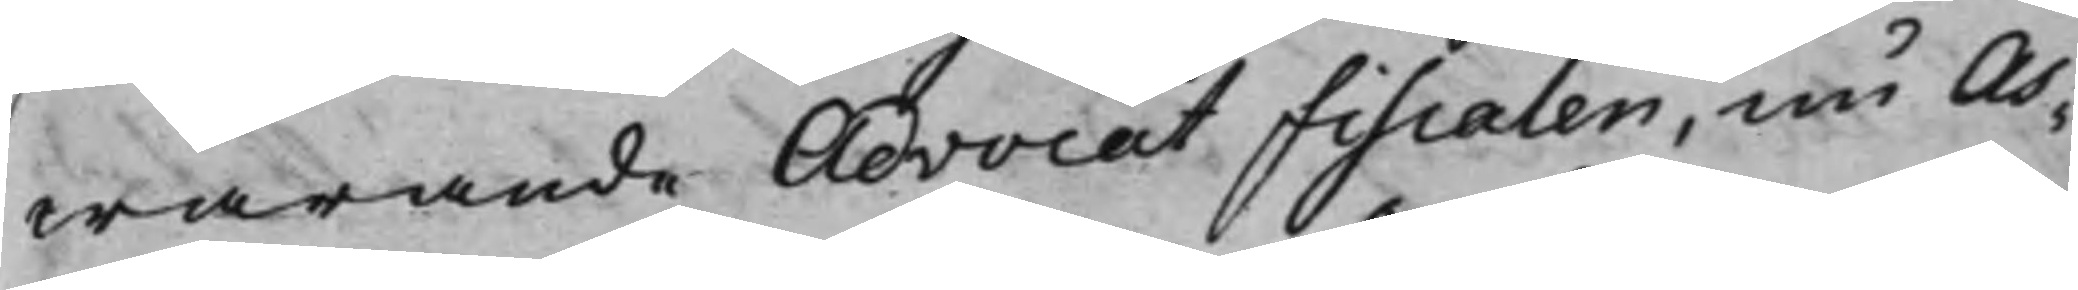warande AdvocatFiscalen, nu As¬
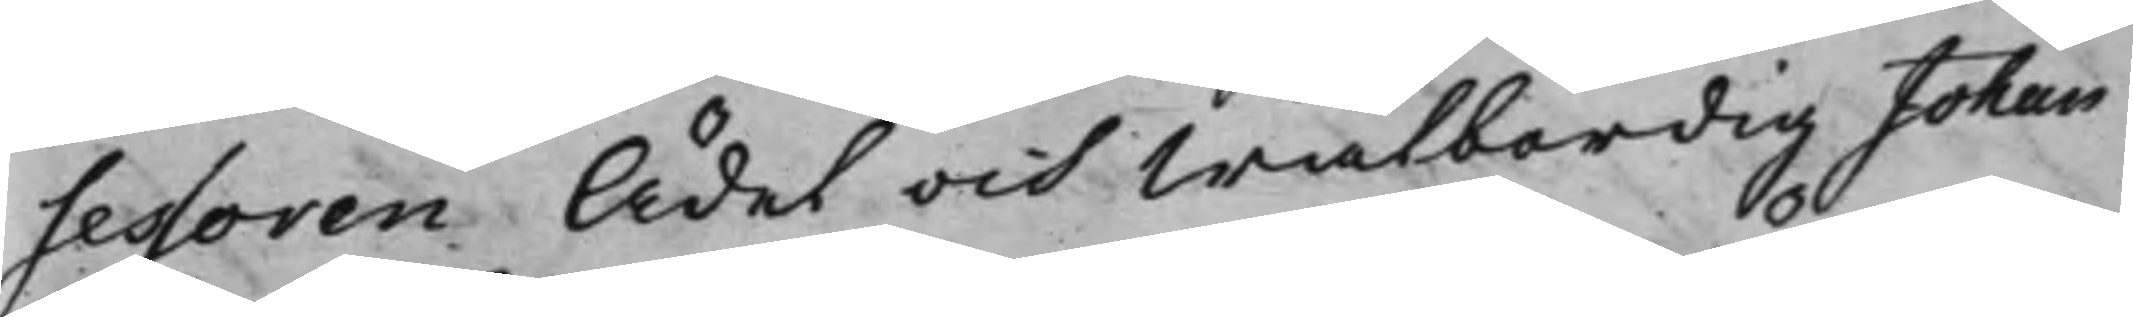sessoren Ädel och Wälbördig Johan
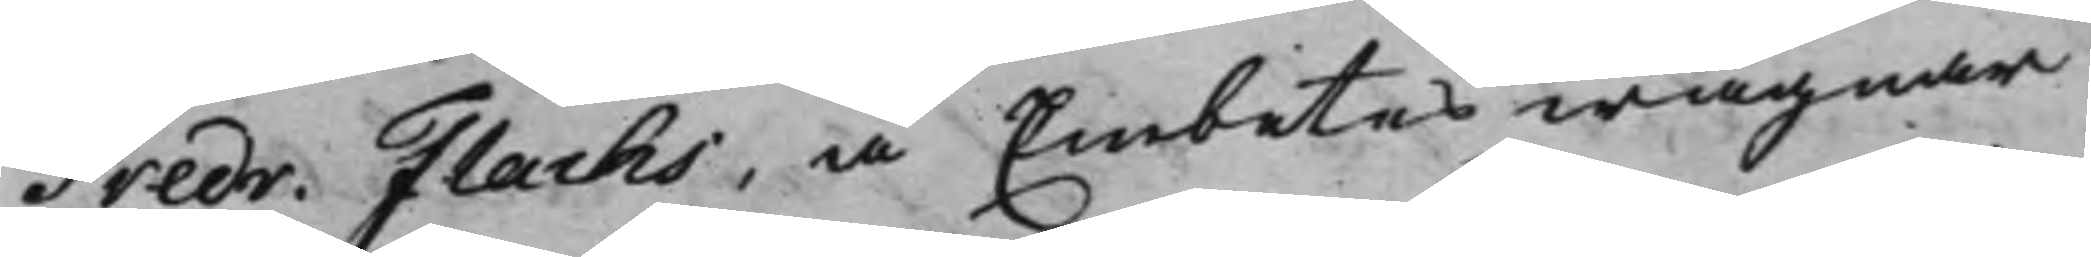Fredr. Flachs, å Embetes wägnar
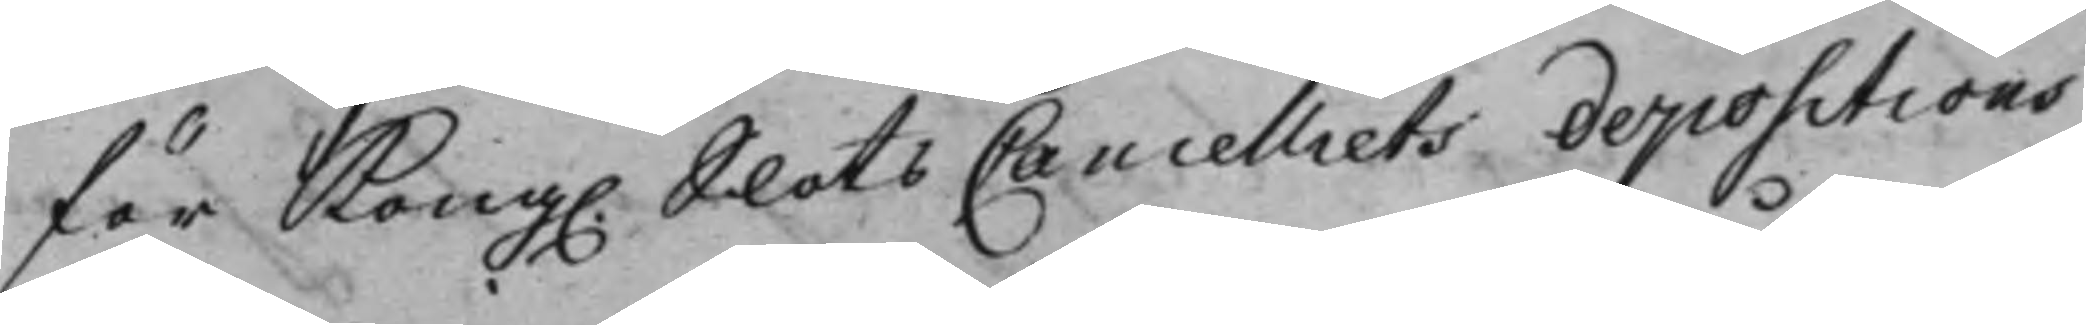för Kong. SlotsCancelliets depositions
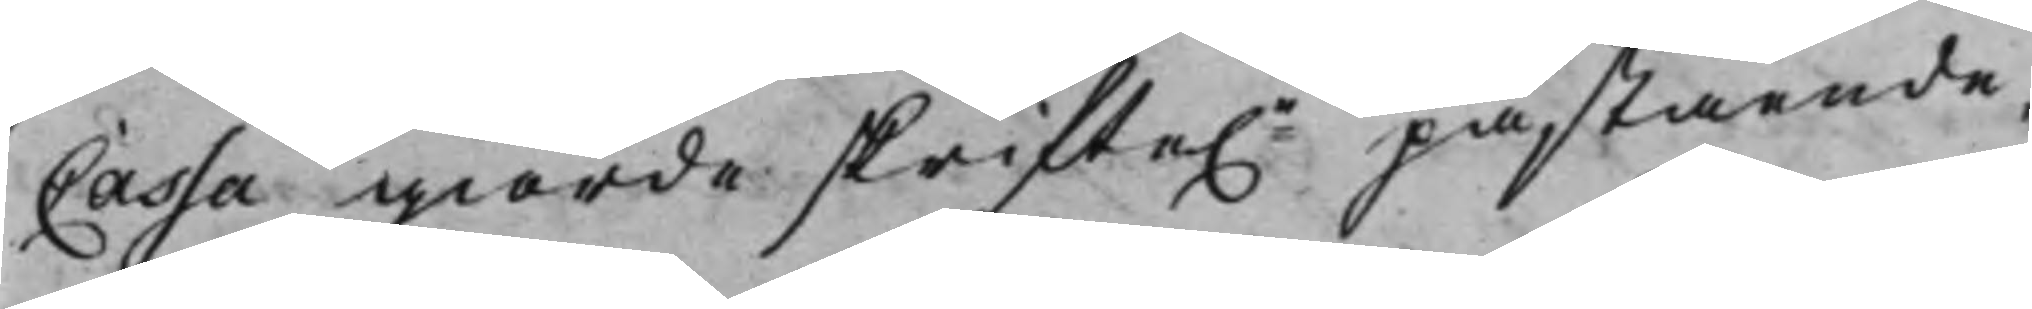Cassa giorde skrifte.n påstående,
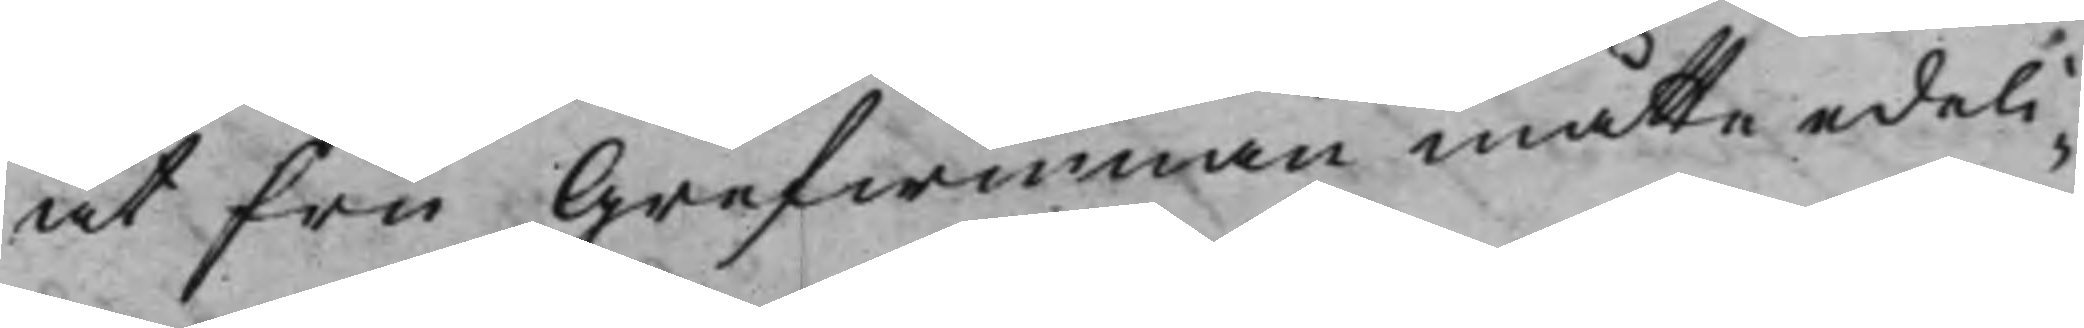at Fru Grefwinnan måtte edeli¬
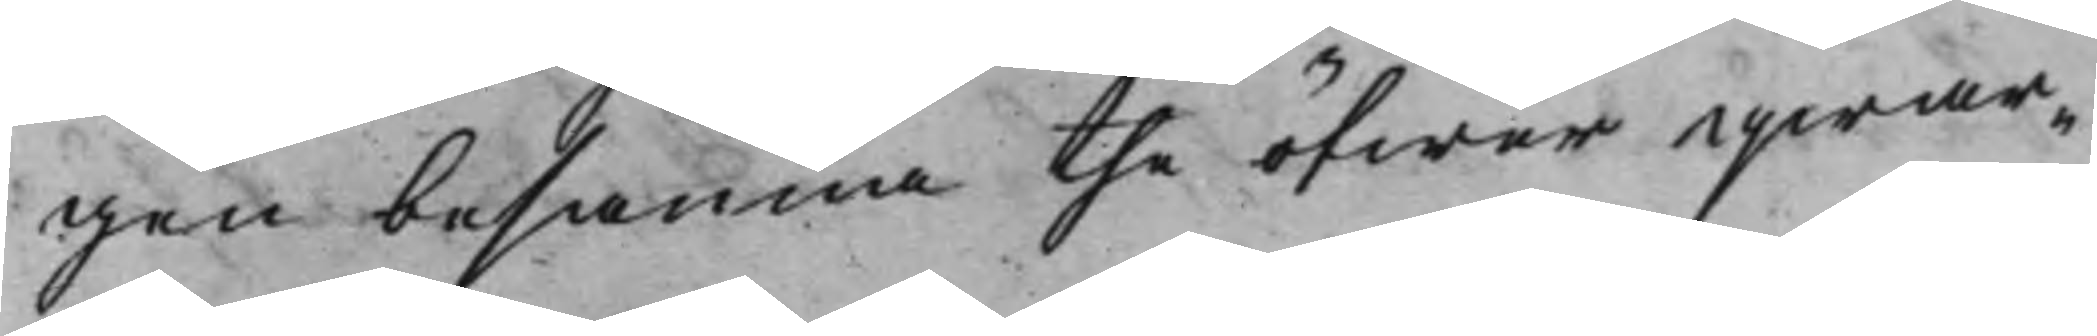gen besanna the öfwer qwar¬
